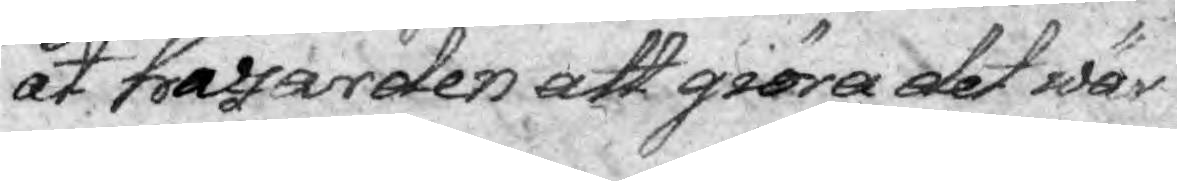åt hassarden att giöra det wär¬
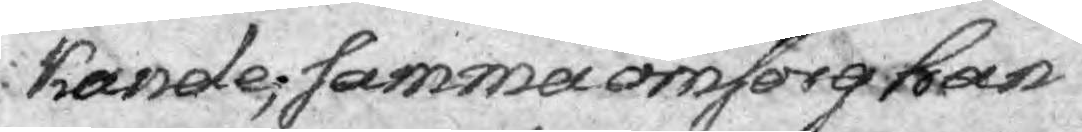kande; samma omsorg kan
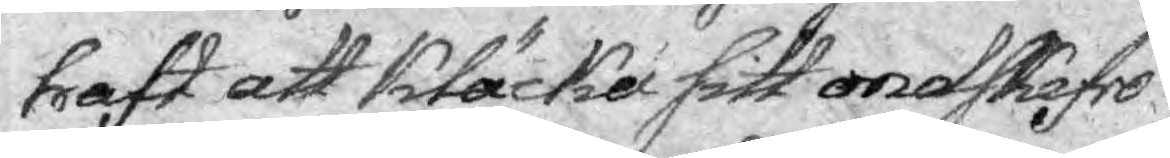haft att kläcka sitt ondskefrö
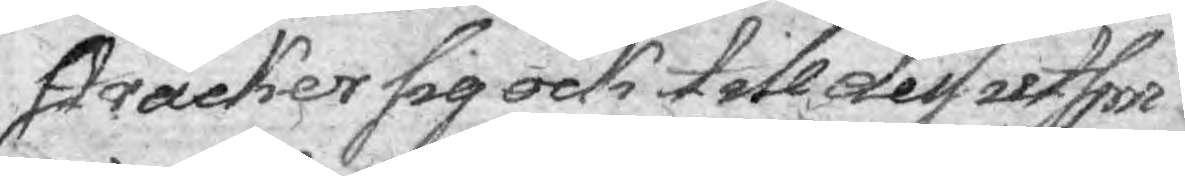sträcker sig ock till dess utfor¬
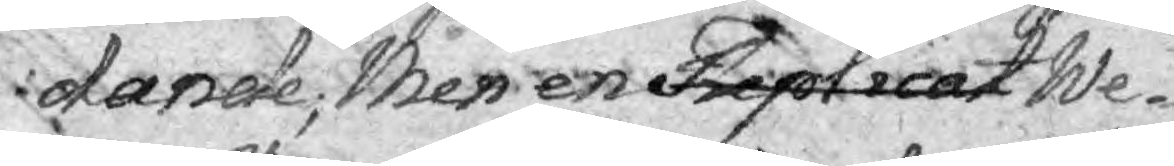dande; Men en Replicat we¬
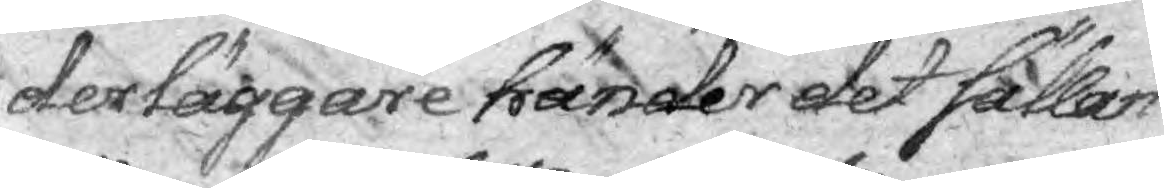derläggare händer det sällan
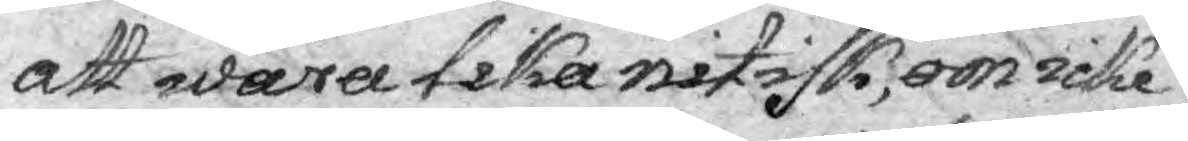att sara tillika nitisk, om icke
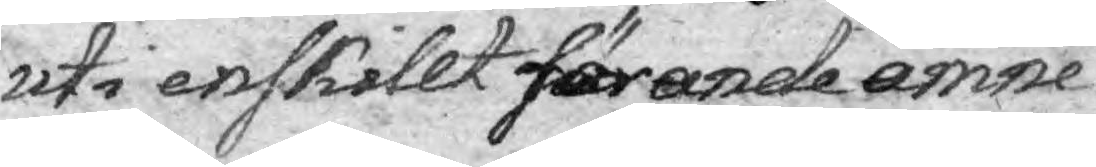uti enskillt förande ämne.
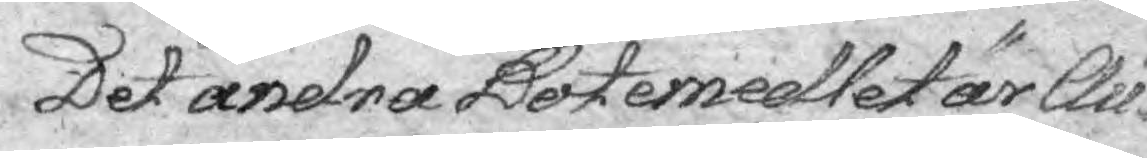Det andra Botemedlet är Au¬
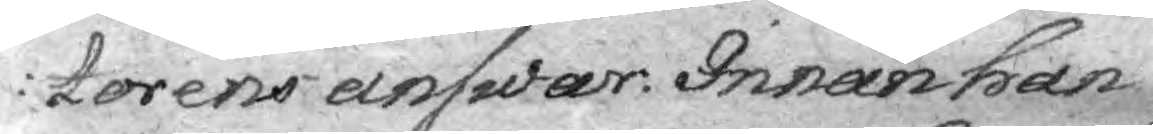torens answar. Innan han
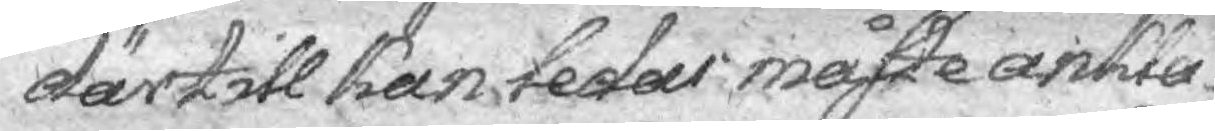därtill kan ledas måste ankla¬
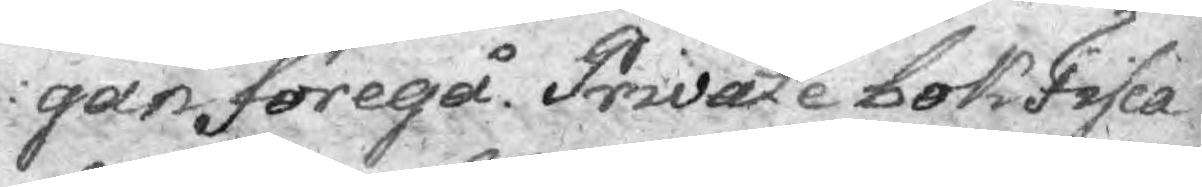gan föregå Private bok Fisca¬
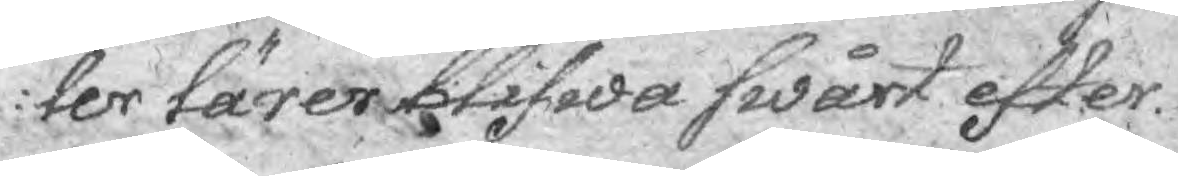ler lärer blifwa swårt efter
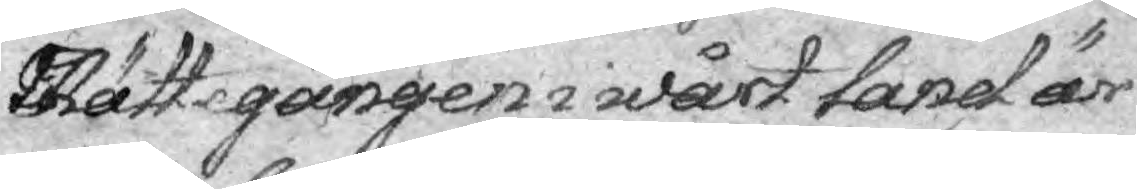Rättegången i wårt land är
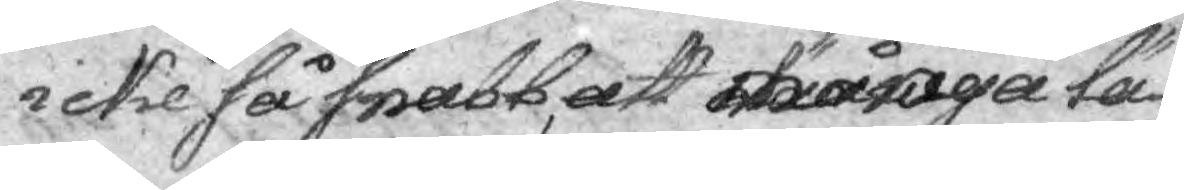icke så snabb, att många lä¬
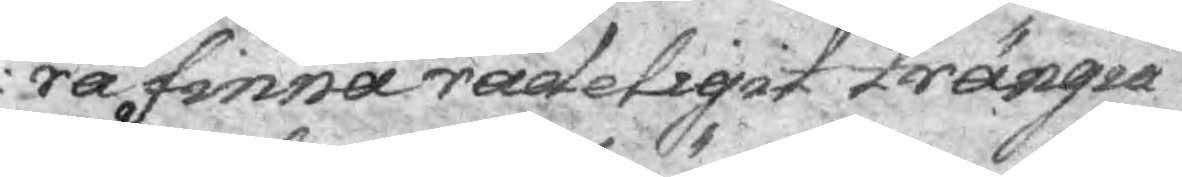ra finna rådeligit trängia 
